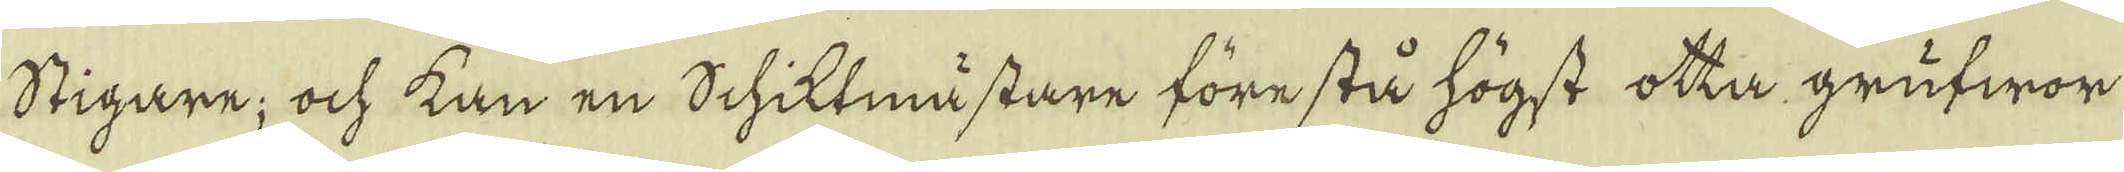Stigare; och kan en Schiktmästare förestå högst otta grufwor
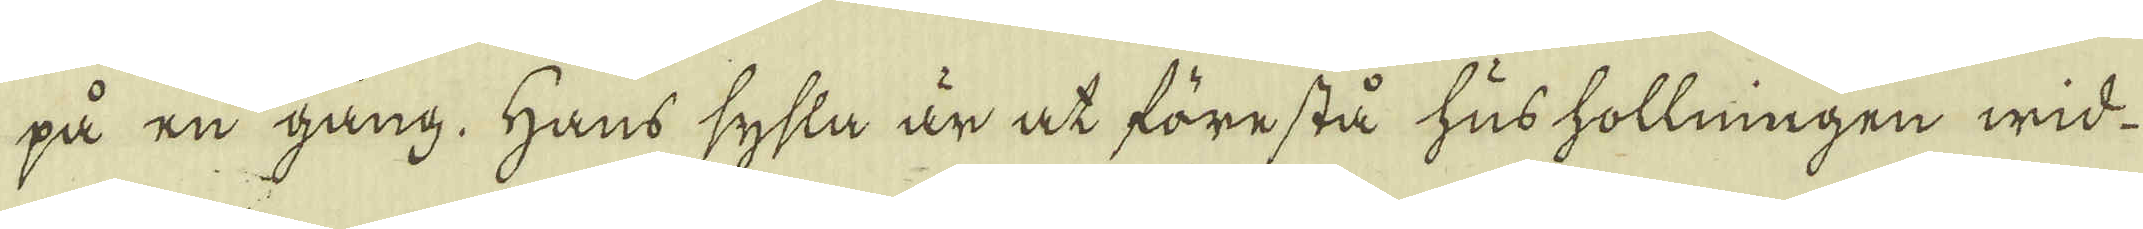på en gång. Hans sysla är at förestå hushollningen wid
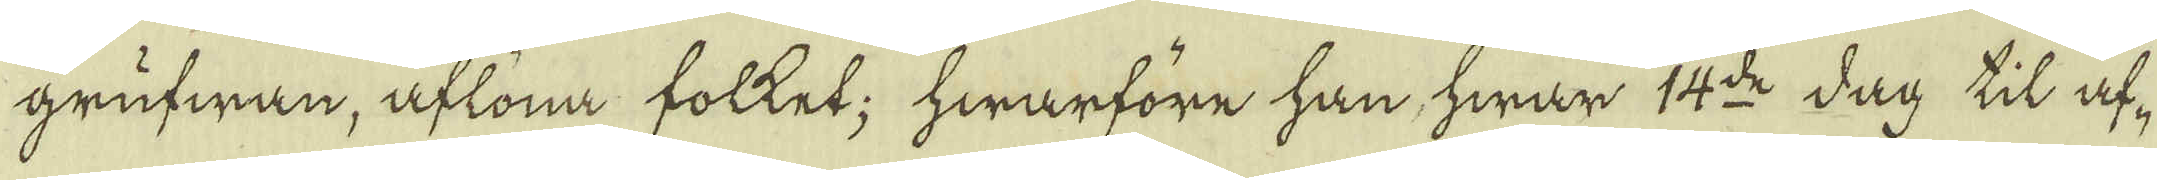grufwan, aflöna folket; hwarföre han hwar 14:de dag til af-
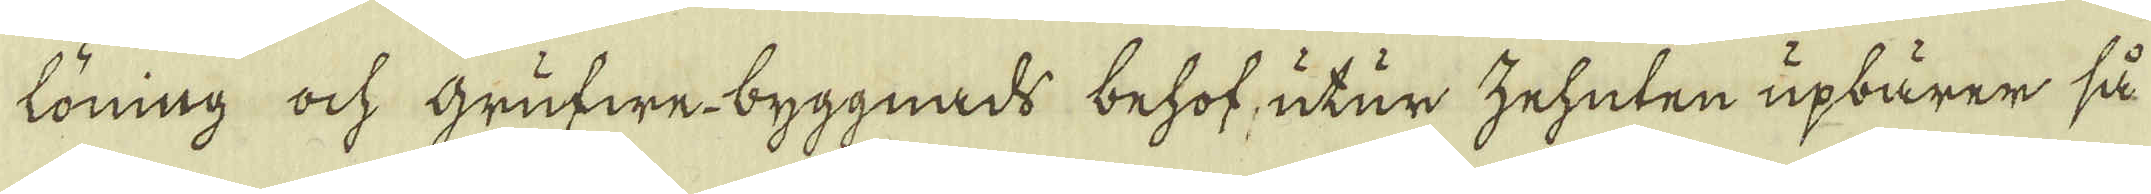löning ock Grufwe-byggnads behof, utur zehuten upbärer så
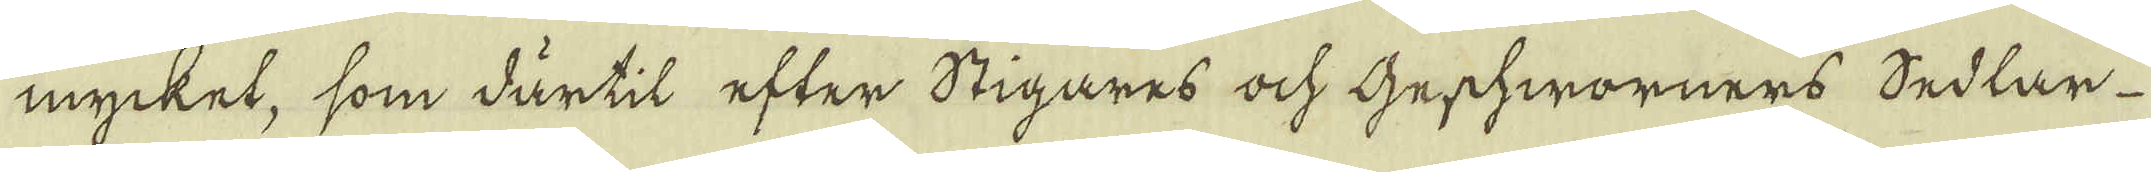mycket, som därtil efter Stigares ock Gerschworners Sedlar
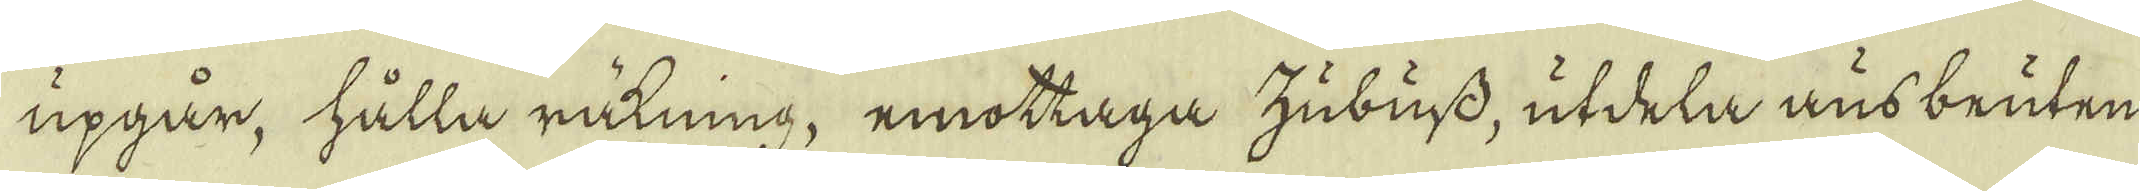upgår, hålla räkning, emottaga zubuss, utdela ausbeuten
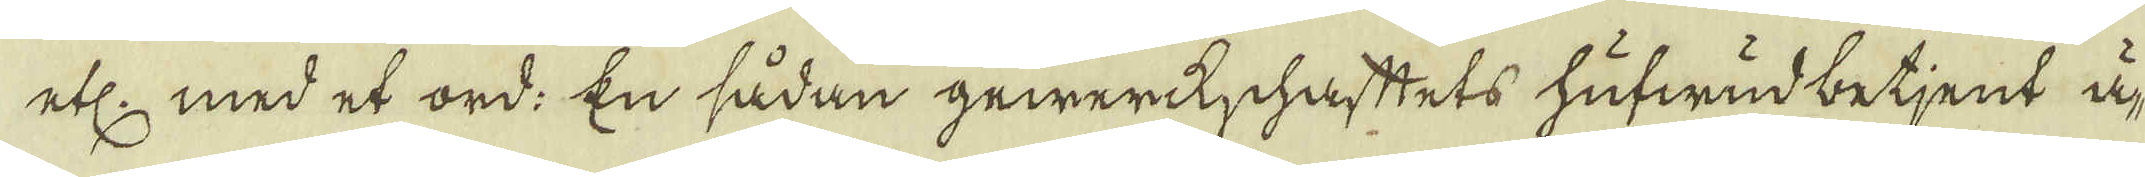etc. med et ord: En sådan gewerkschaftets hufwudbetjent ä-
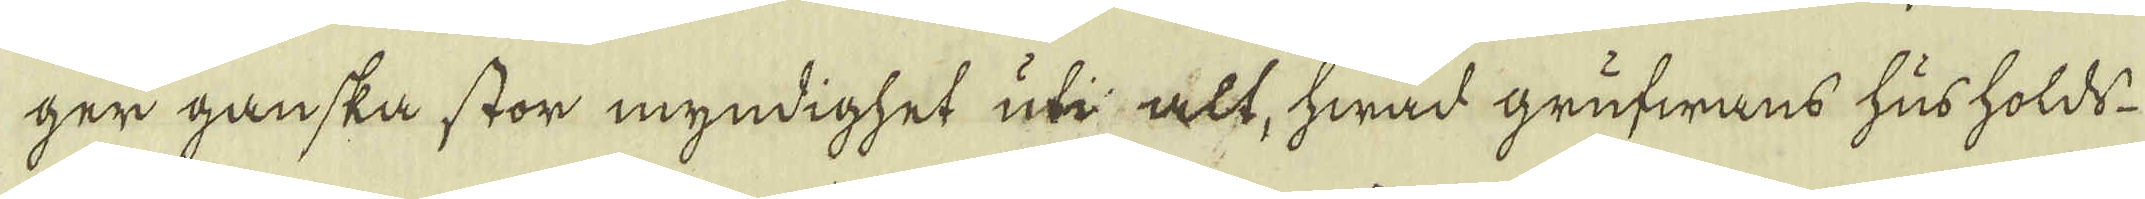ger ganska stor myndighet uti alt, hwad grufwans husholds
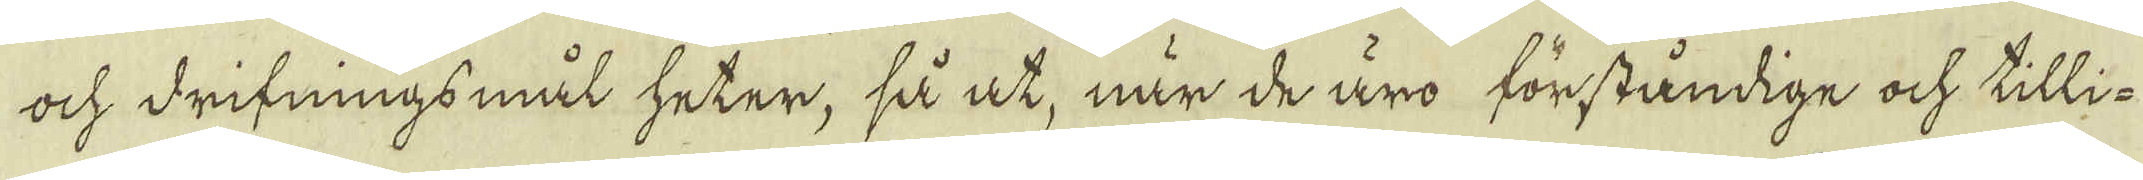ock drifningsmål heter, så at, när de äro förståndige ock tilli-
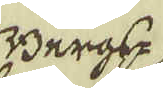Bergs-
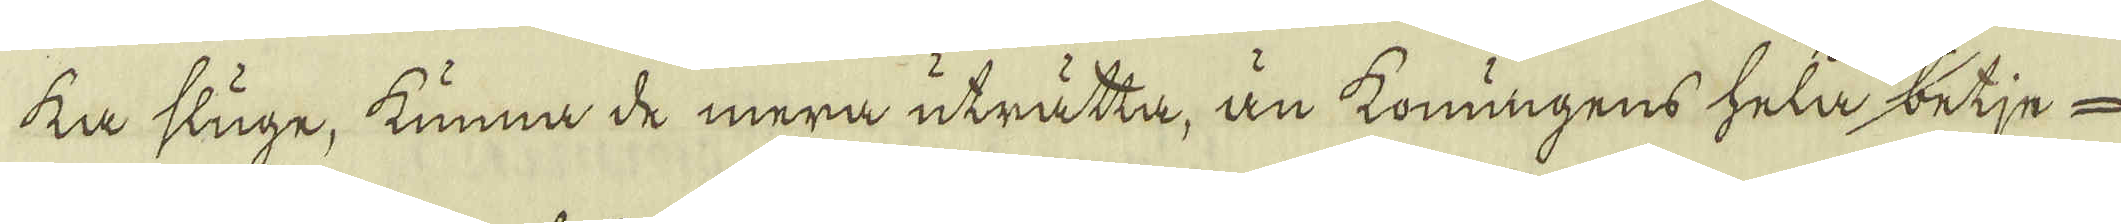ka sluge, kunna de mera uträtta, än konungens hela betje-
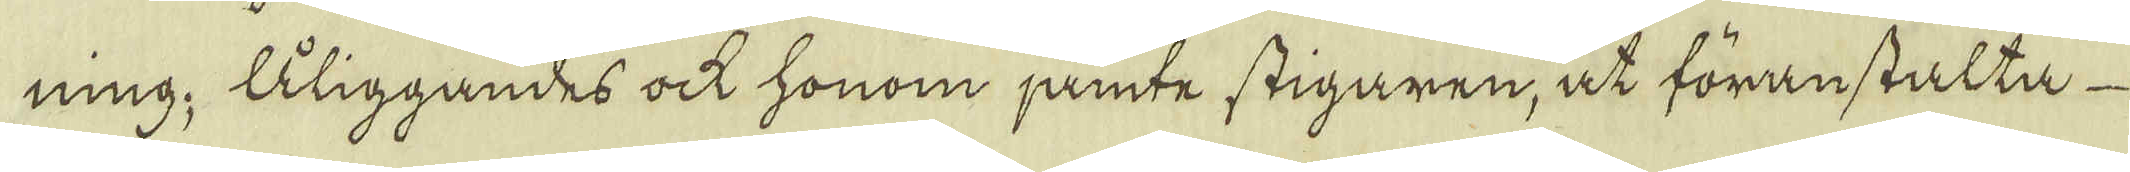ning; Åliggandes ock honom jämte stigaren, at föranstalta
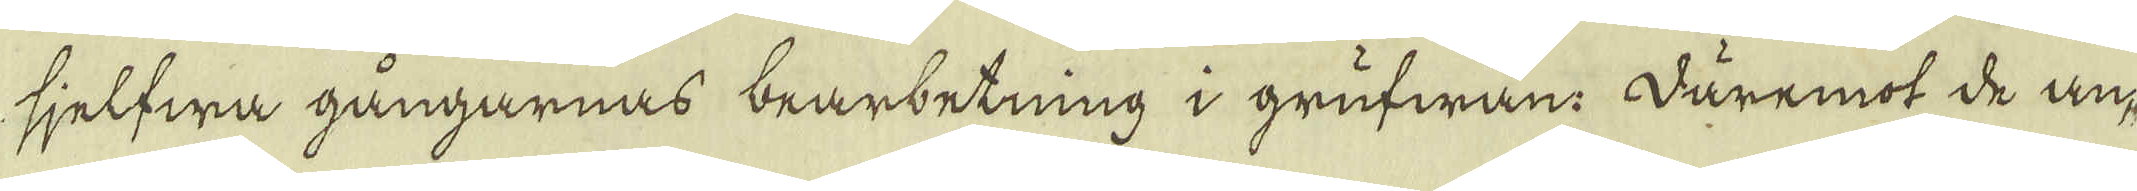sjelfwa gångarnas bearbetning i grufwan. Däremot de an-
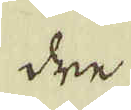dre
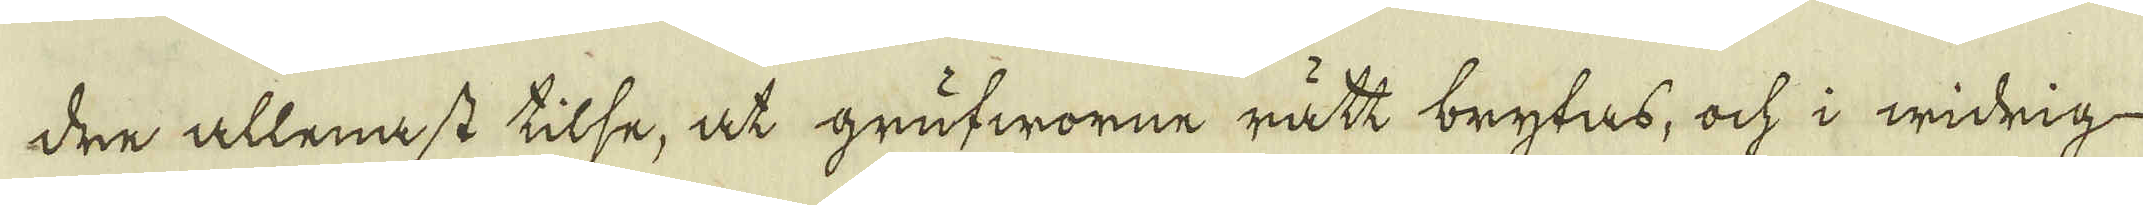dre allenast tilse, at grufworne rätt brytas, och i widrig
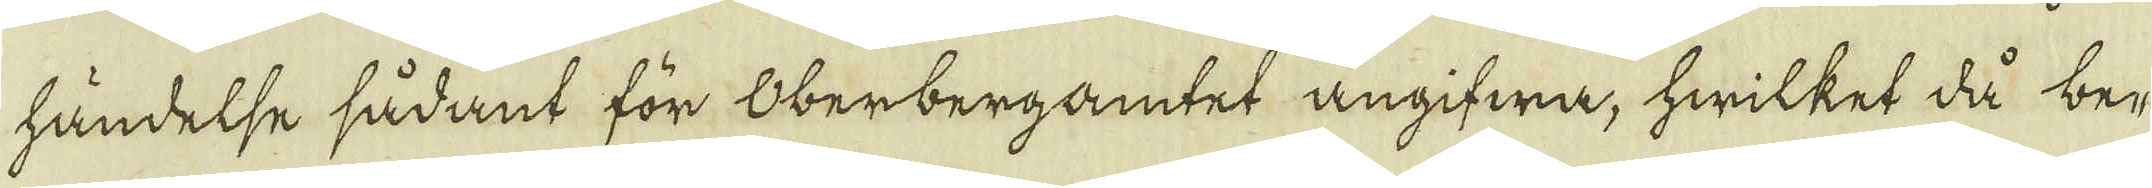händelse sådant för Oberbergamtet angifwa, hwilket då be-
